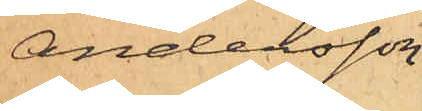Andersson
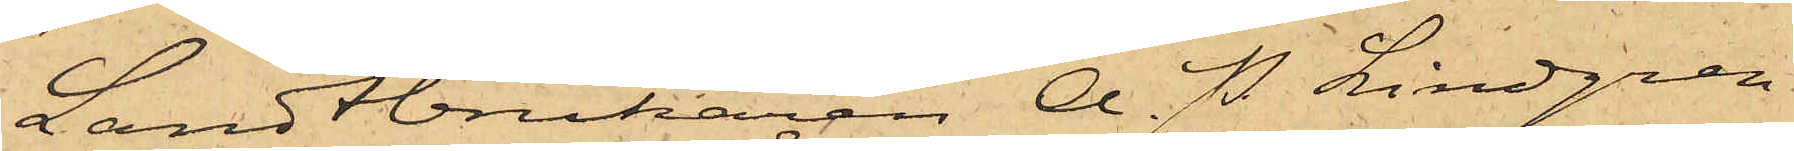Landtbrukaren A. P. Lindgren
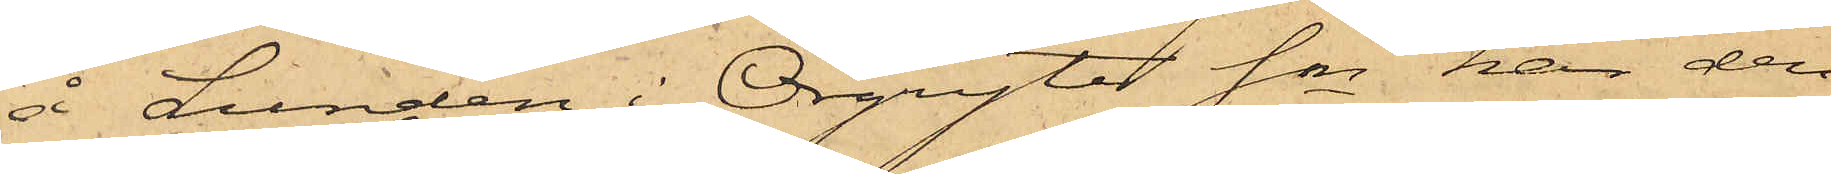å Lunden i Örgryte Sn har den
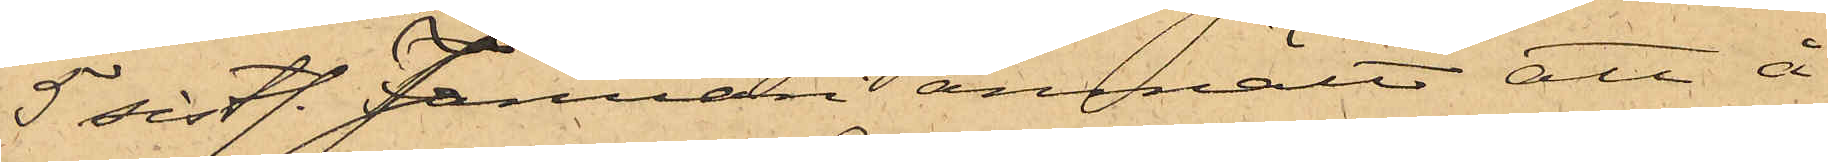5 sistl. Januari anmält att å
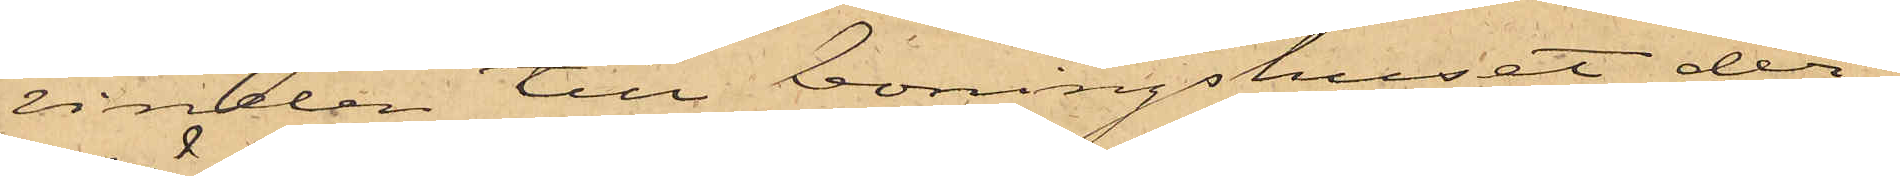vinden till boningshuset der¬
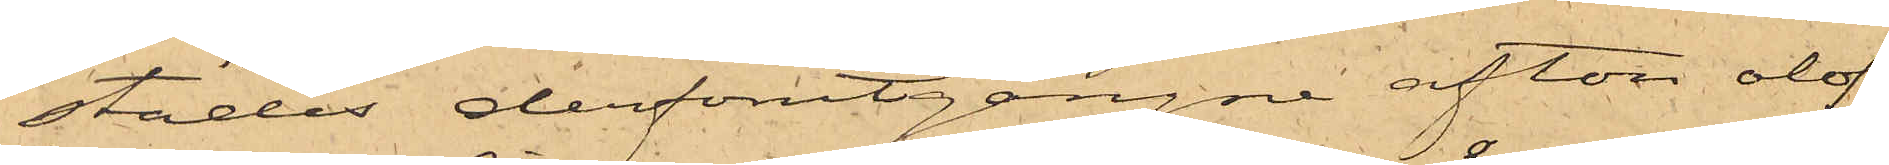städes derförutgångne afton olof¬
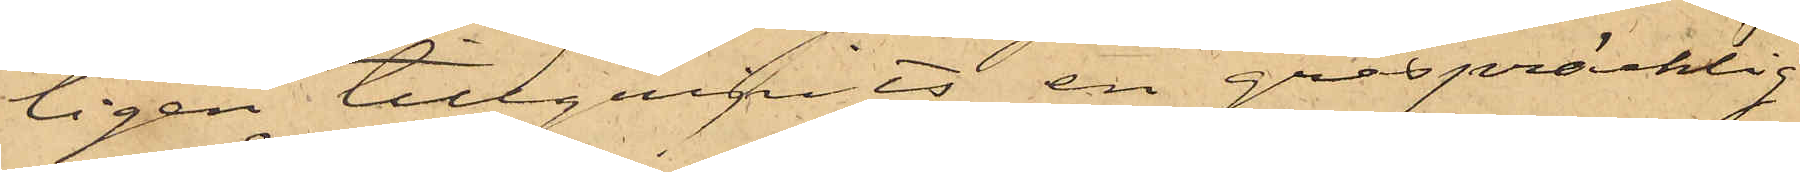ligen tillgripits en gråspräcklig
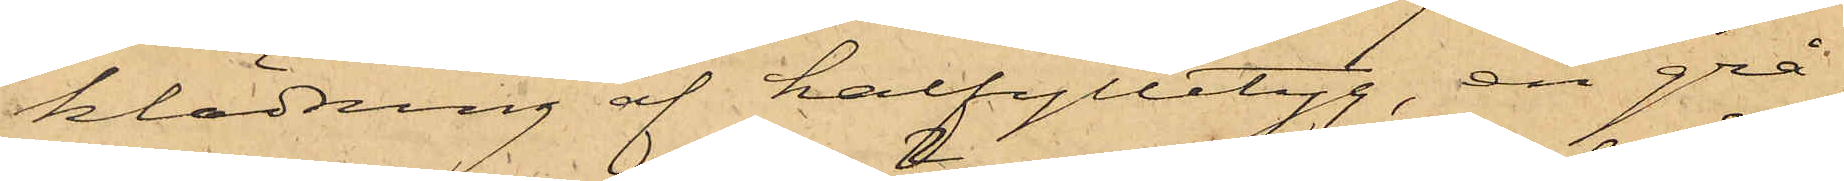klädning af halfylletyg, en grå¬
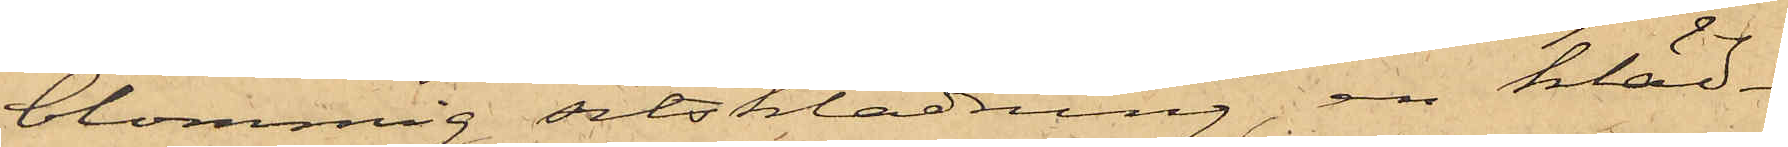blommig sitsklädning, en kläd¬
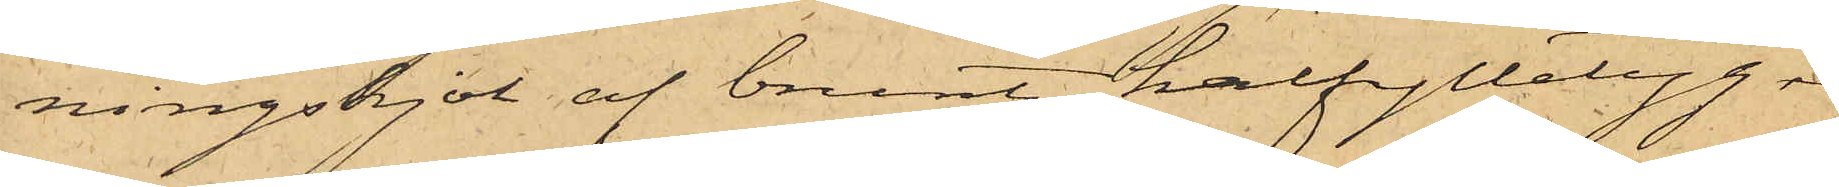ningskjol af brunt halfylletyg 
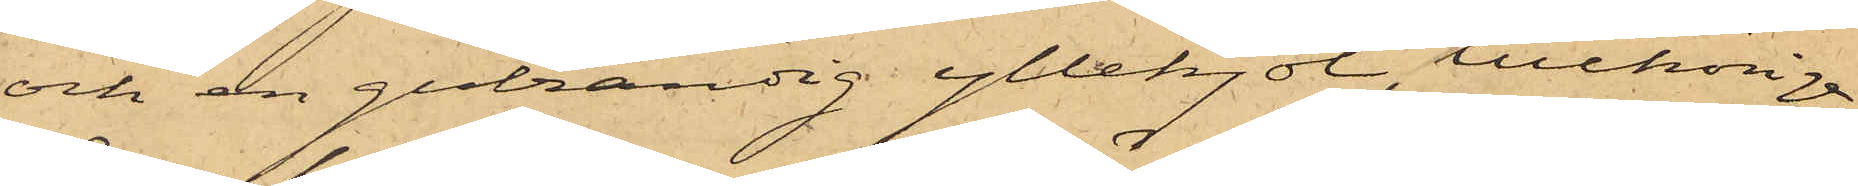och en gulrandig yllekjol, tillhöriga
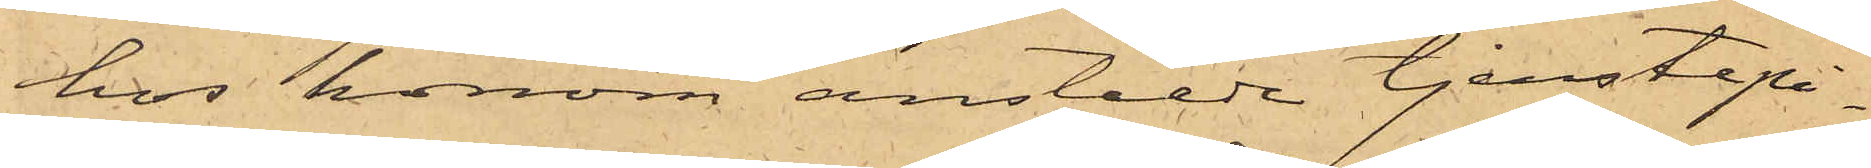hos honom anstälde tjenstepi¬
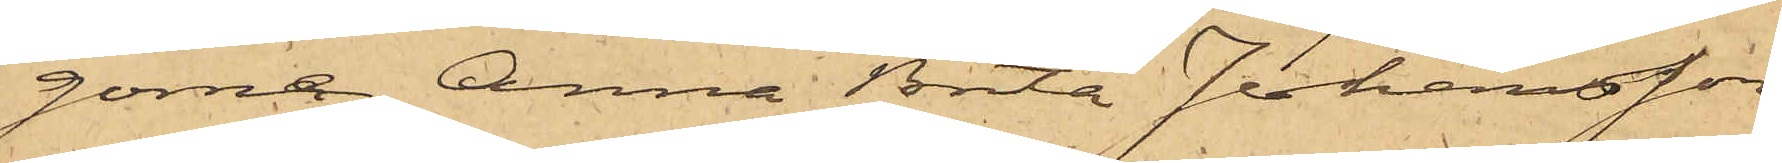gorna Anna Brita Johansson
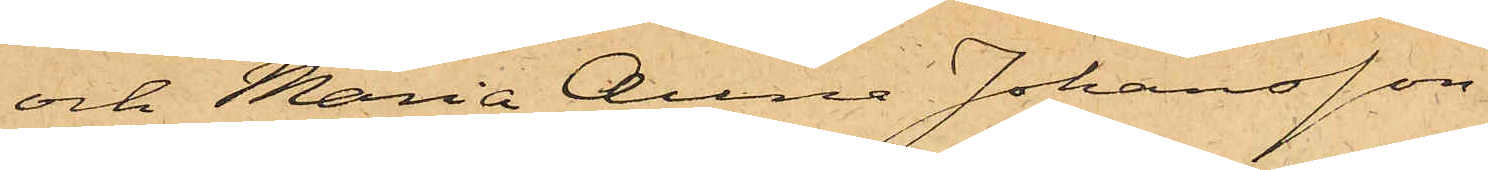och Maria Anna Johansson.
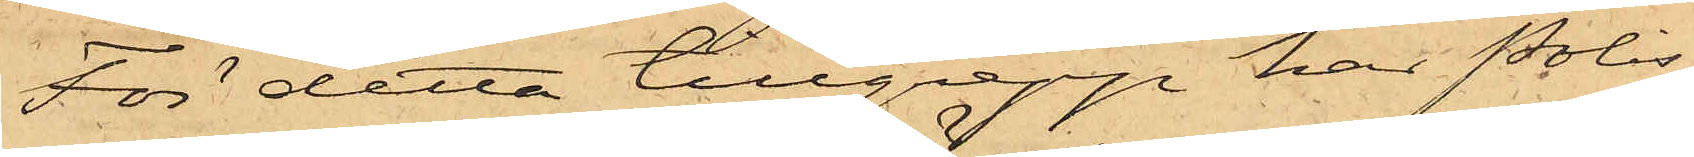För detta tillgrepp har Polis¬
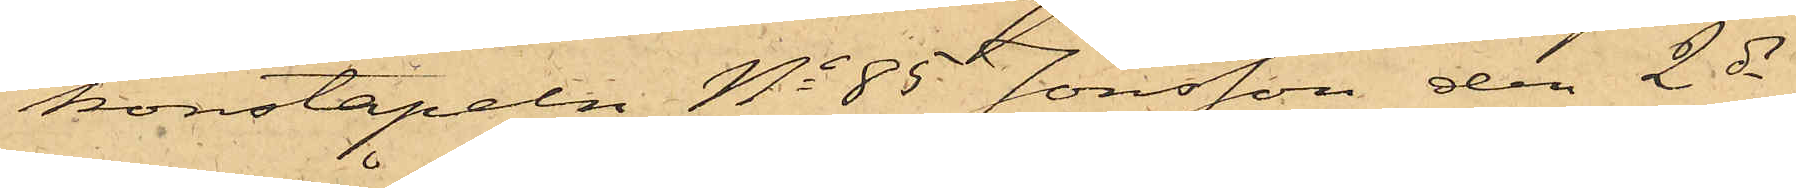konstapeln No 85 Jönsson den 2 ds
